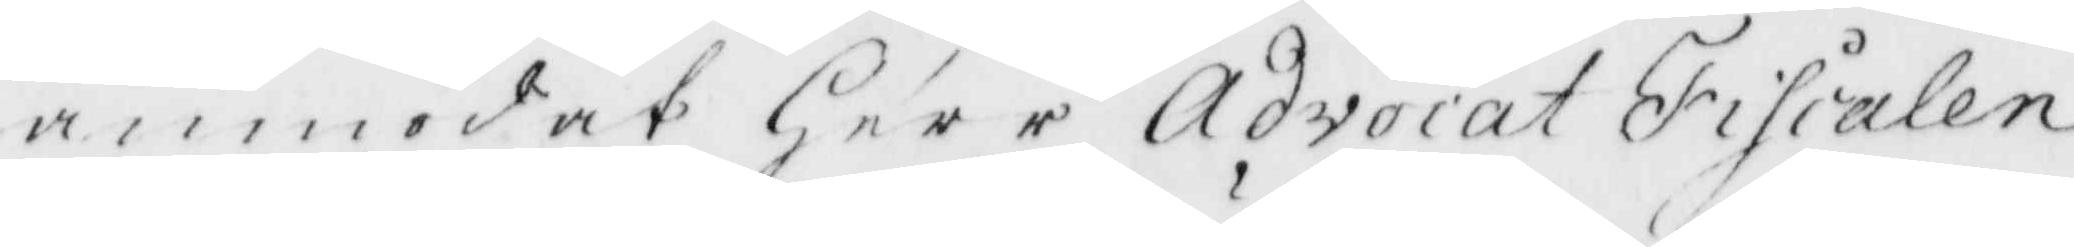anmodat Herr Advocat Fiscalen
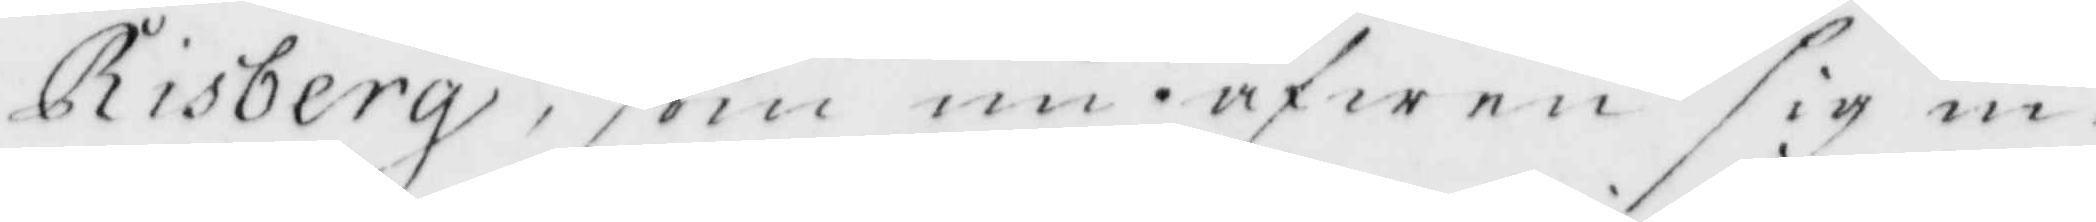Risberg, som nu äfwen sig in¬
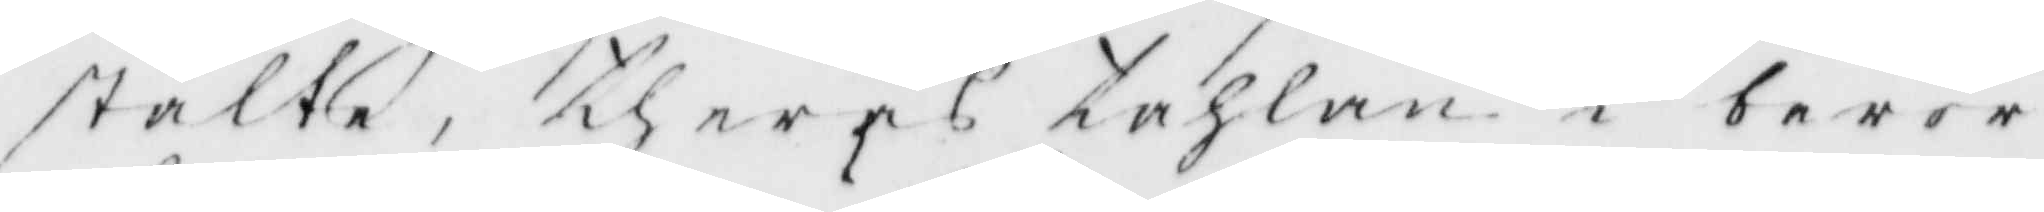ställte, theras tahlan i berör¬
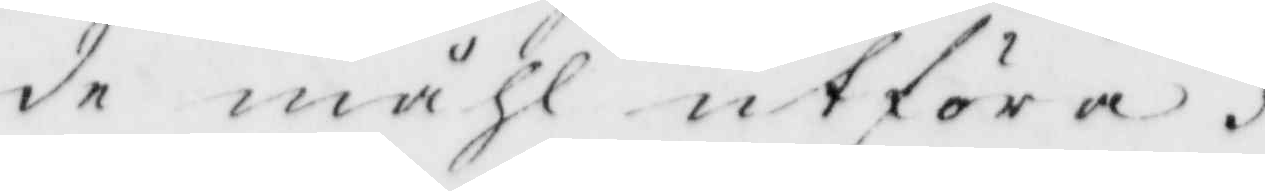de måhl utföra.
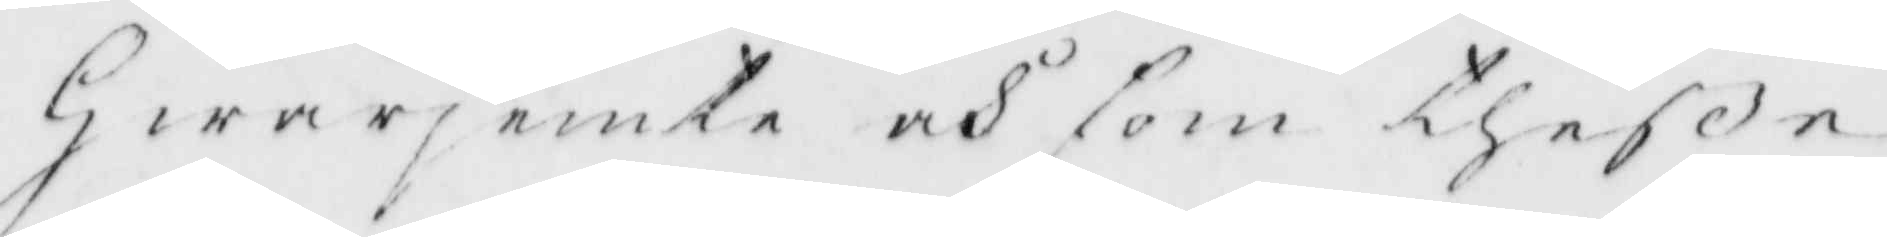Hwarjemte och som thesse
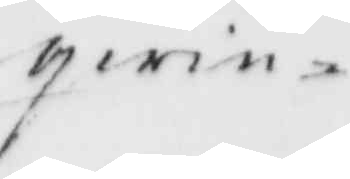qwin¬
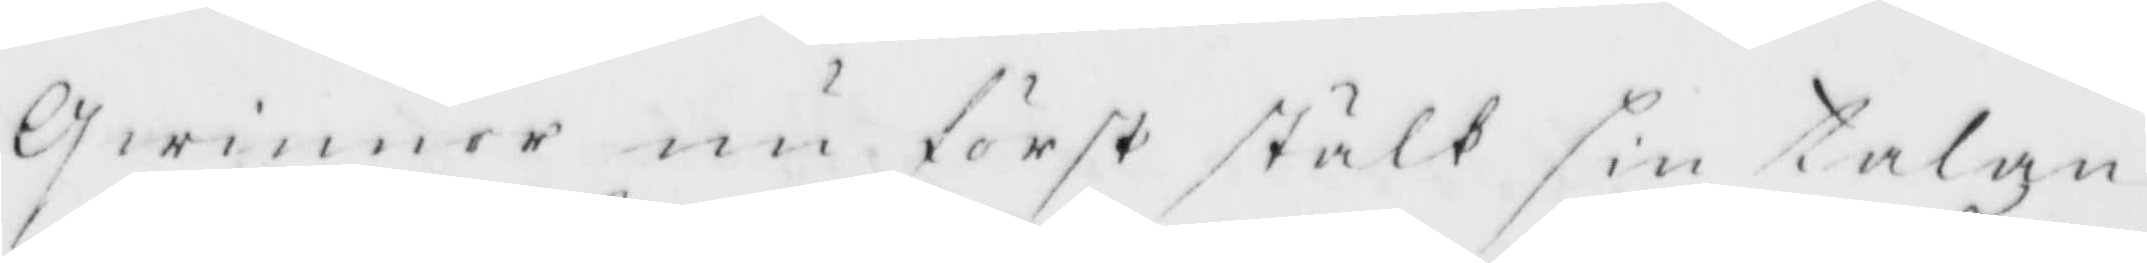Qwinnor nu först stält sin talan
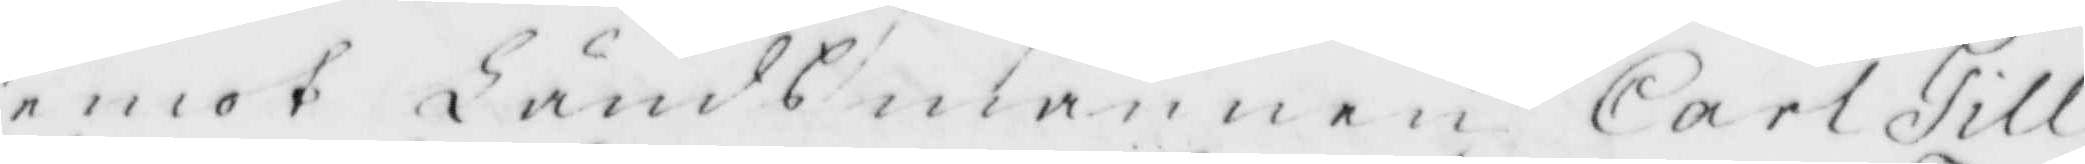emot Ländsmannen Carl Till¬
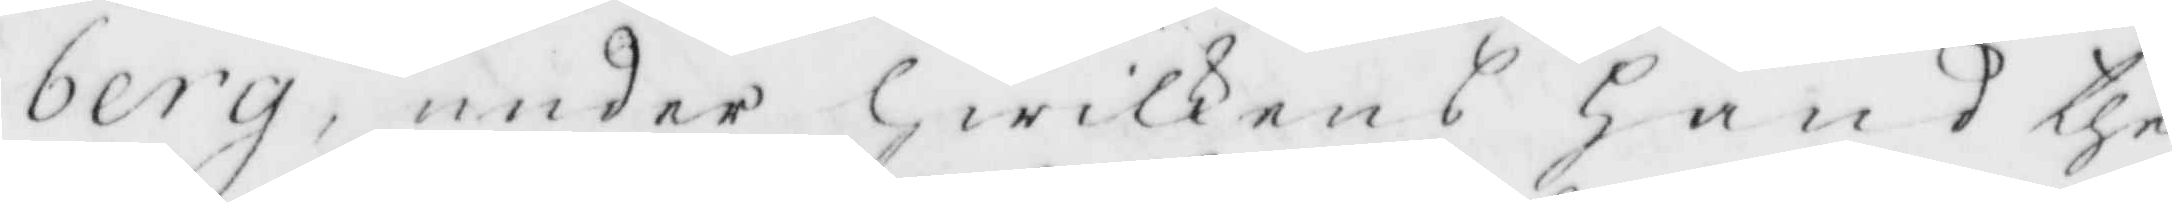berg, under Hwilkens hand the
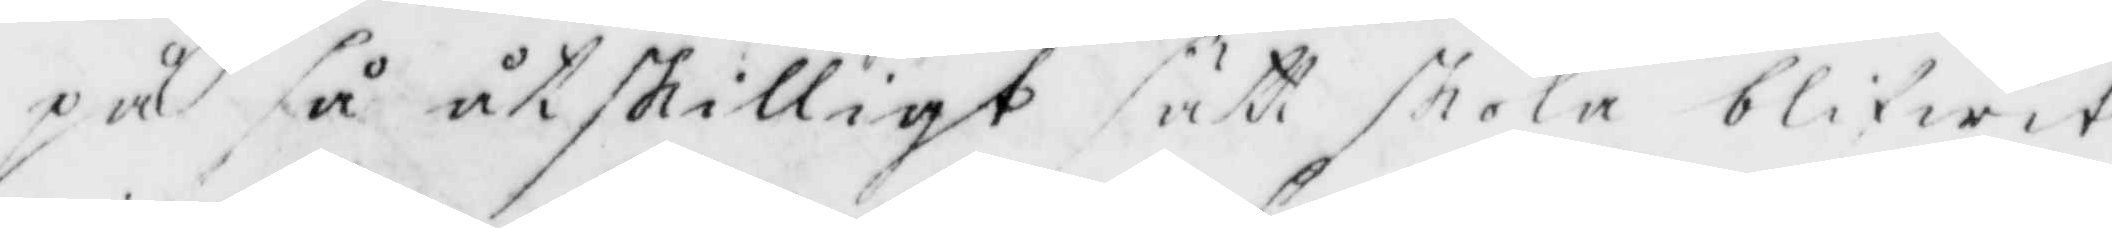på så åtskilligt sätt skola blifwit
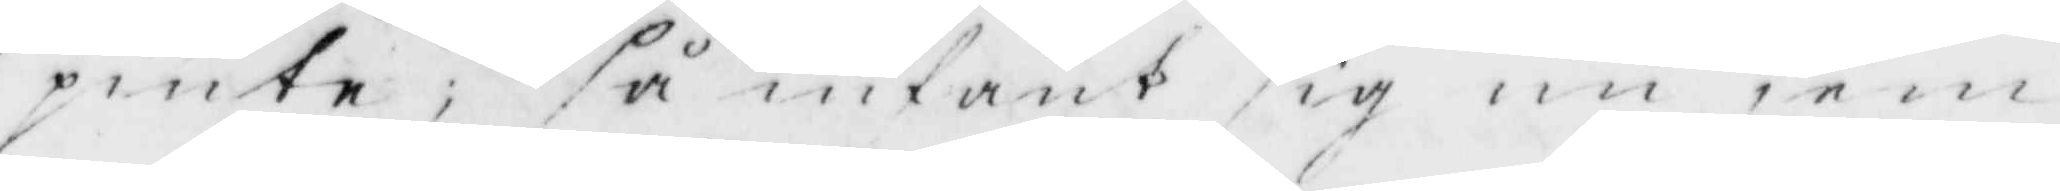pinte, så infant sig nu jem¬
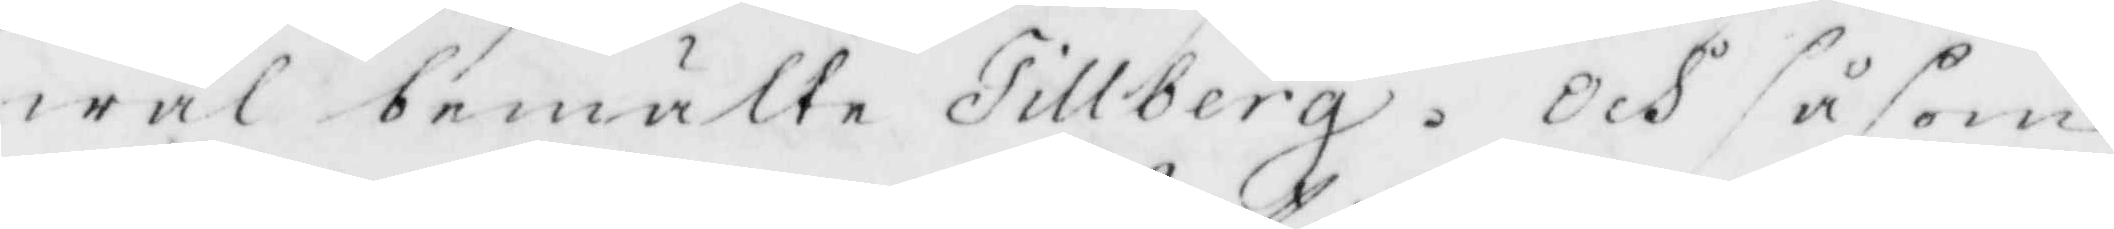wäl bemälte Tillberg. Och såsom
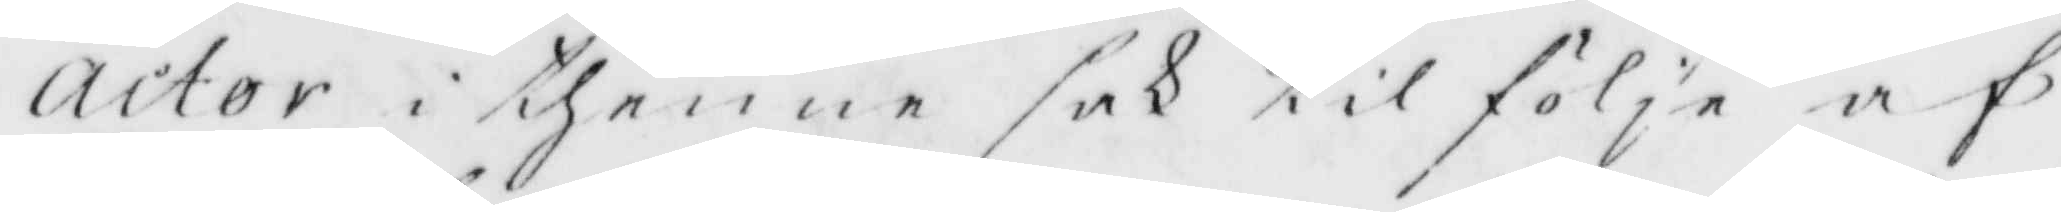actor i thenne sak til följe af
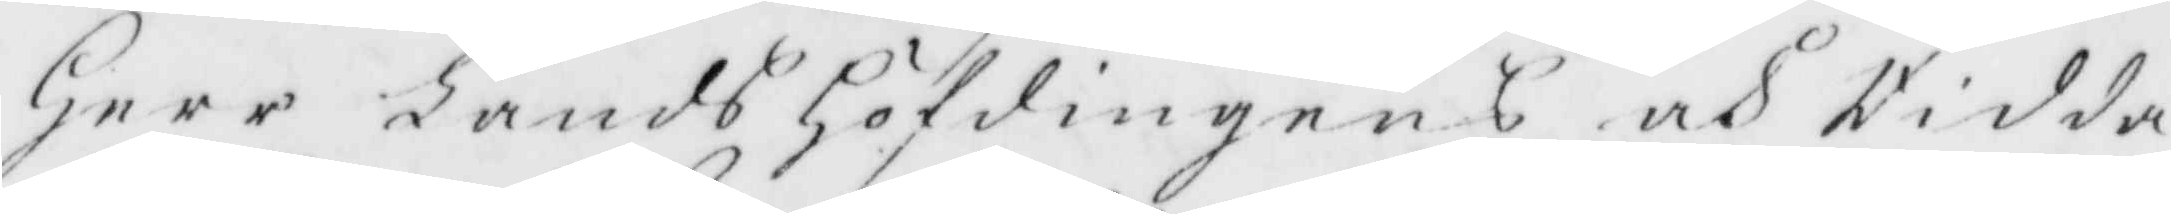Herr LandsHöfdingens och Ridda¬
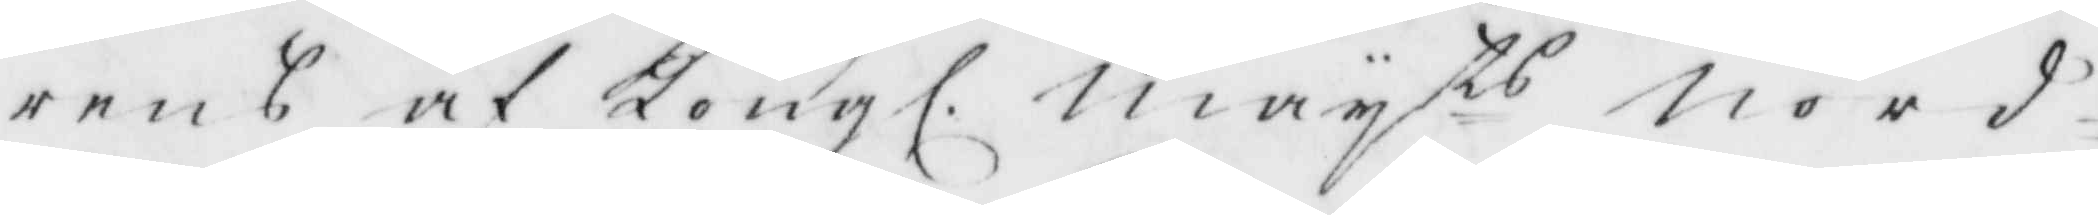rens af Kongl. May ts Nord¬
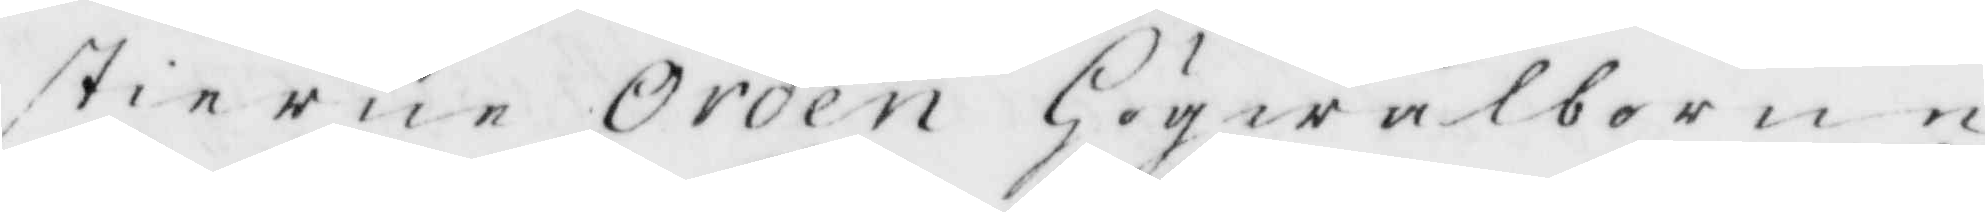stierne Orden Högwälborne
